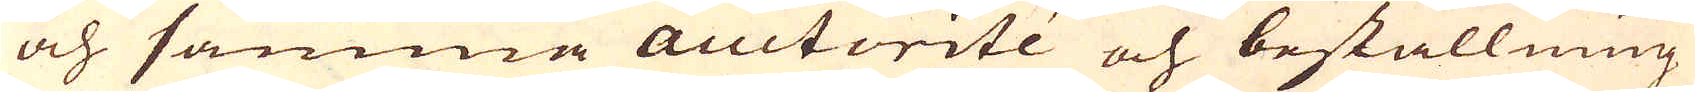och samma auctorité och beställning
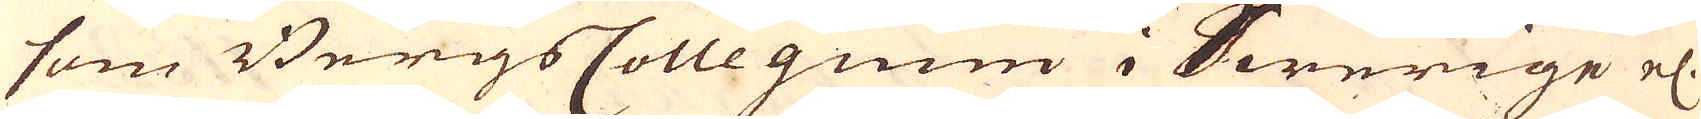som BergsCollegium i Swerige el:
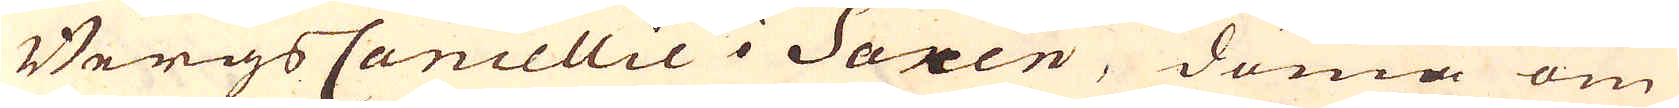Bergs Cancellie i Saxen, döma om
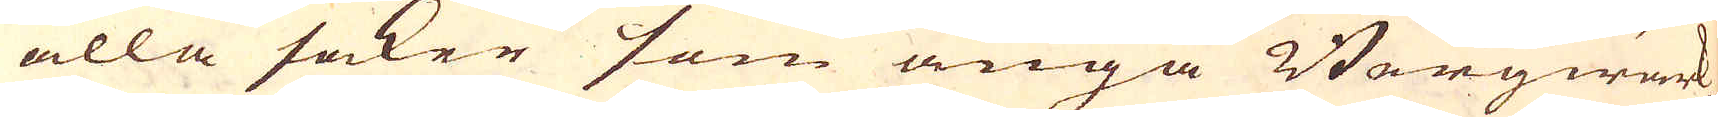alla saker som angå Bergwärk,
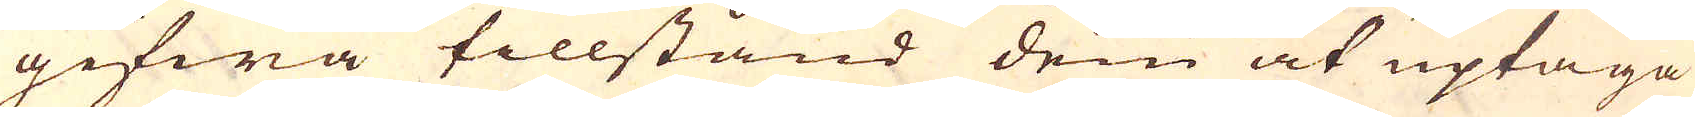gifwa tillstånd dem at uptaga
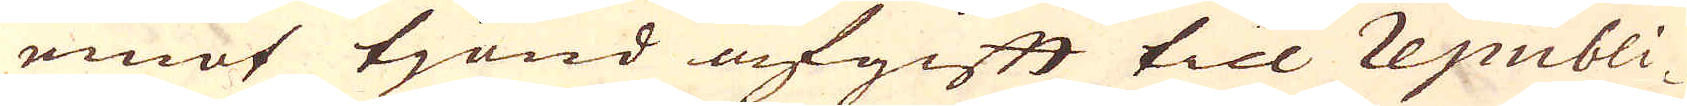emot tjond afgift till republi-
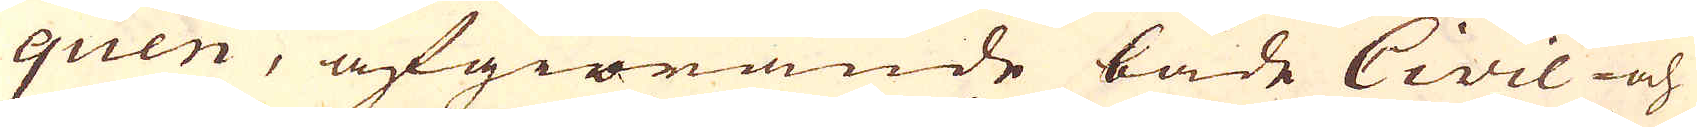quen, afgiörande både Civil- och
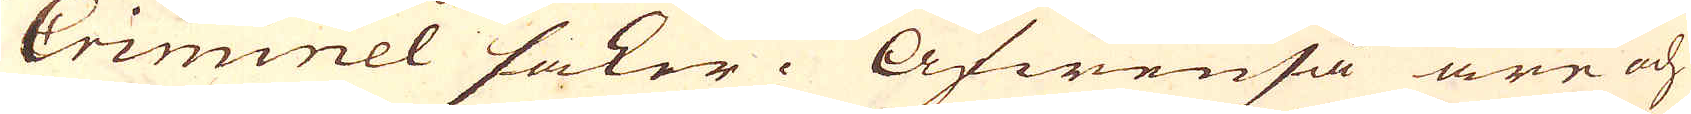Criminel saker. Äfwenså äre och
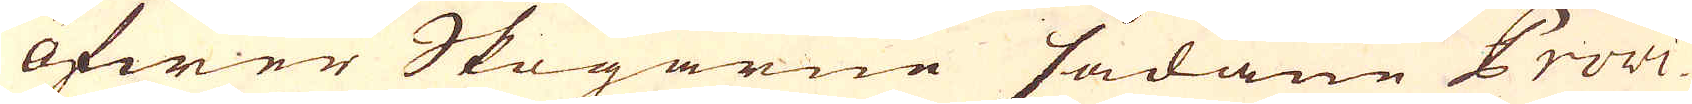öfwer Skogarne sådane Provi-
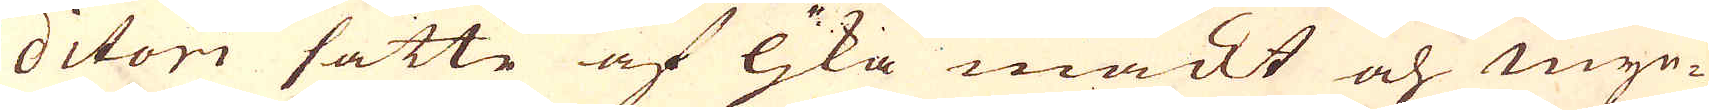ditore satte af ljka mackt och myn-
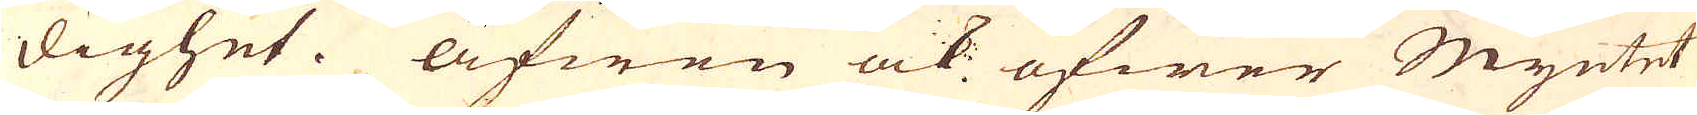dighet. Äfwen ock öfwer Myntet
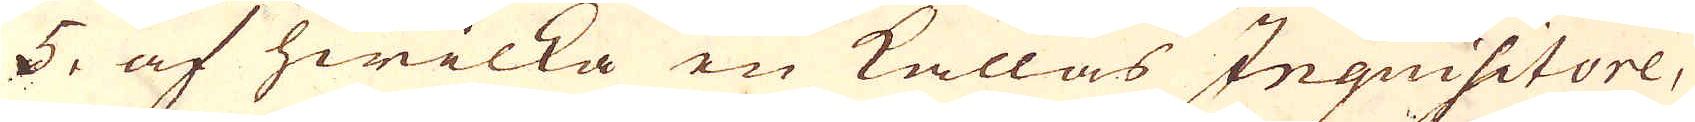5, af hwilka en kallas Inquisitore,
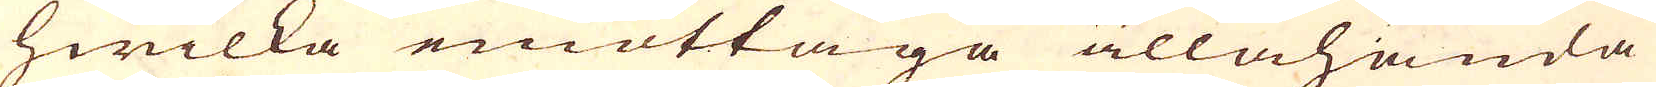hwilka emottaga allahanda
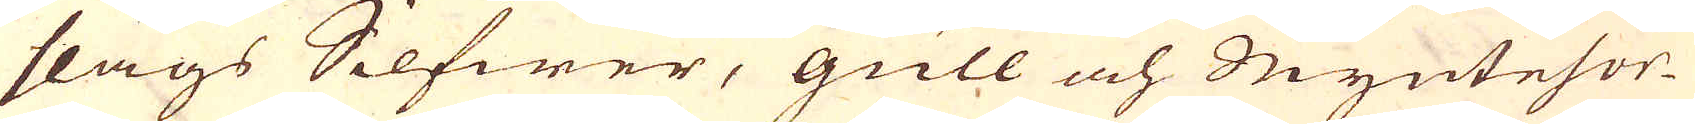slags Silfwer, gull och Myntesor-
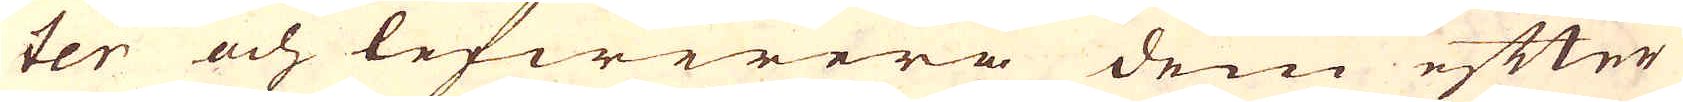ter och lefwerera dem efter
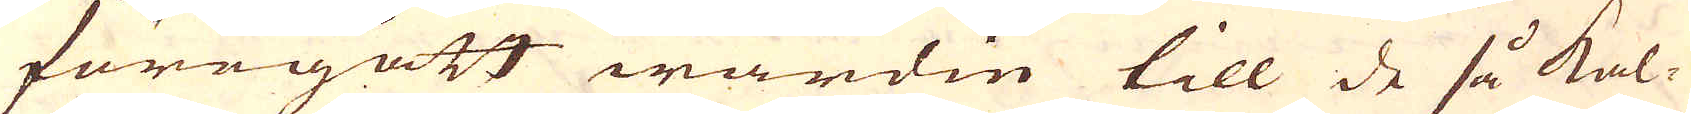föregått wardie till de så kal-
